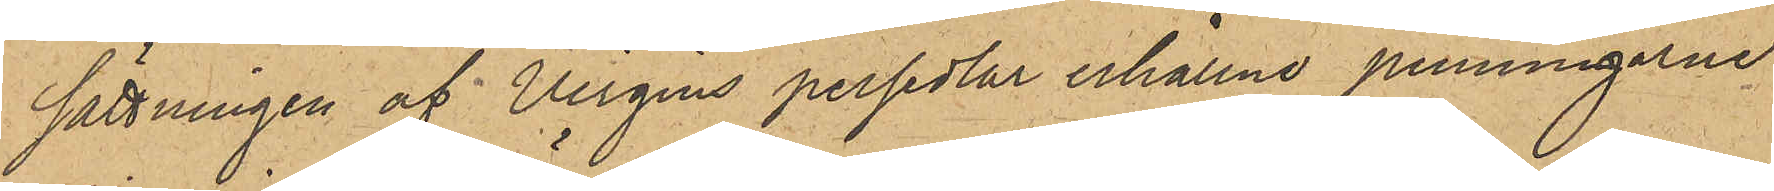sättningen af Virgins persedlar erhållne penningarne
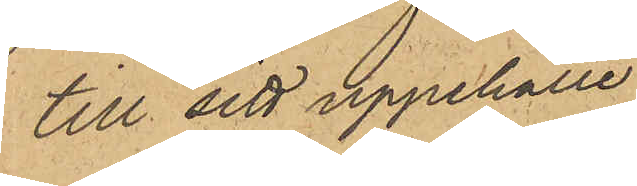till sitt uppehälle.
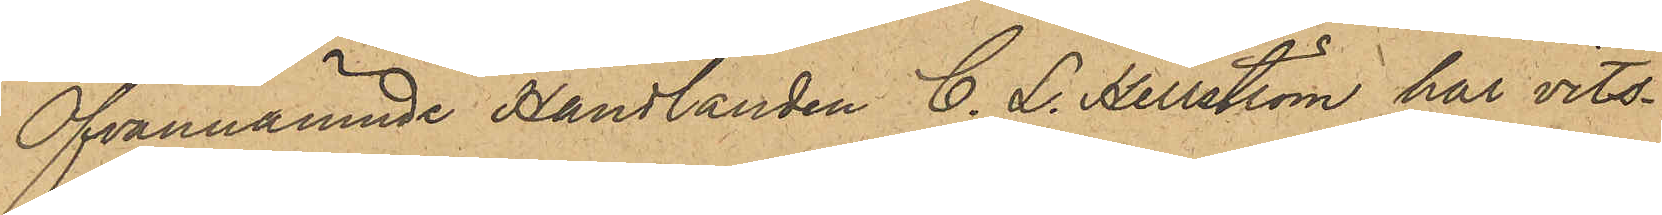Ofvannämnde Handlanden C. L. Hellström har vits¬
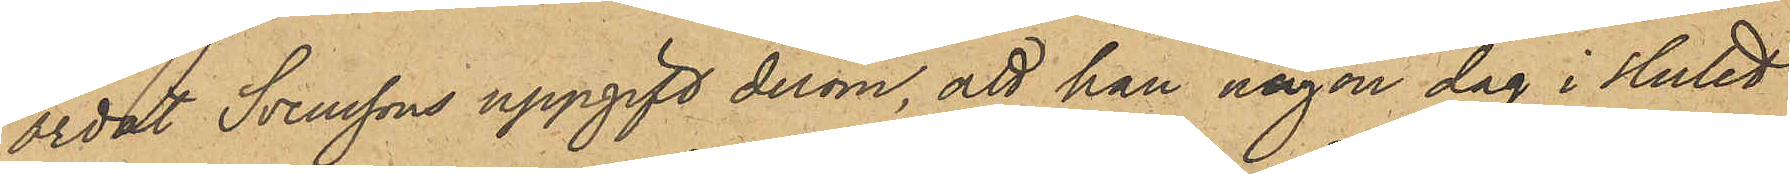ordat Svenssons uppgift derom, att han någon dag i slutet
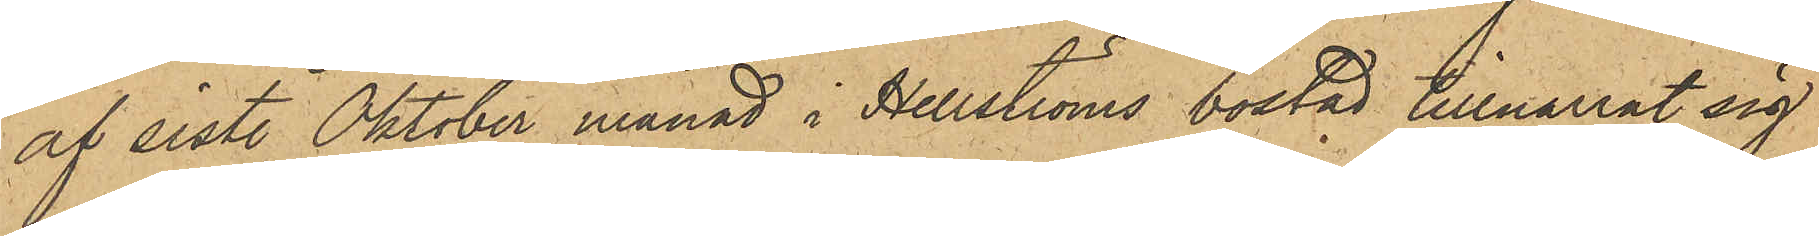af sist. Oktober månad i Hellströms bostad tillnarrat sig
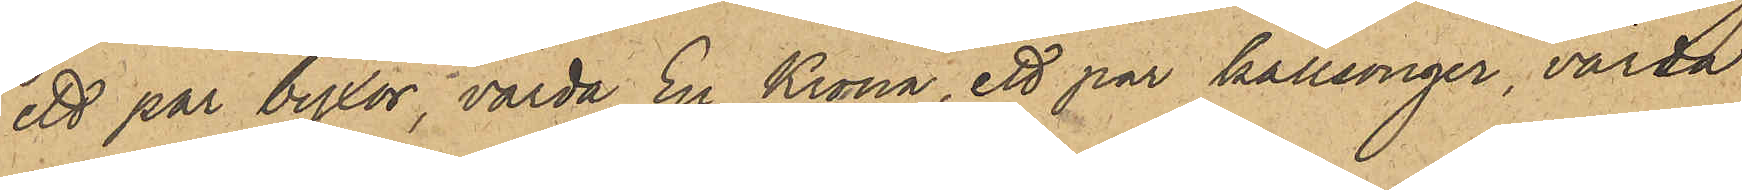ett par byxor, värda En Krona, ett par kallsonger, värda
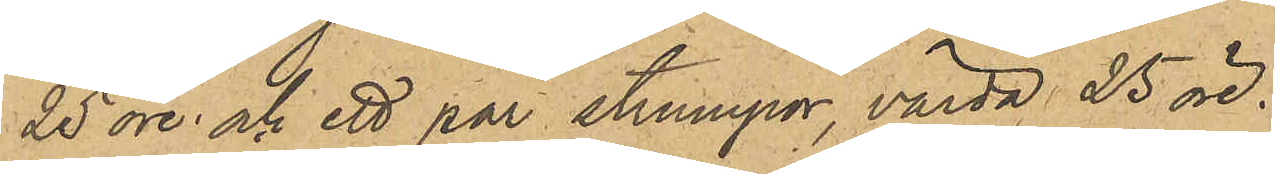25 öre och ett par strumpor, värda 25 öre.
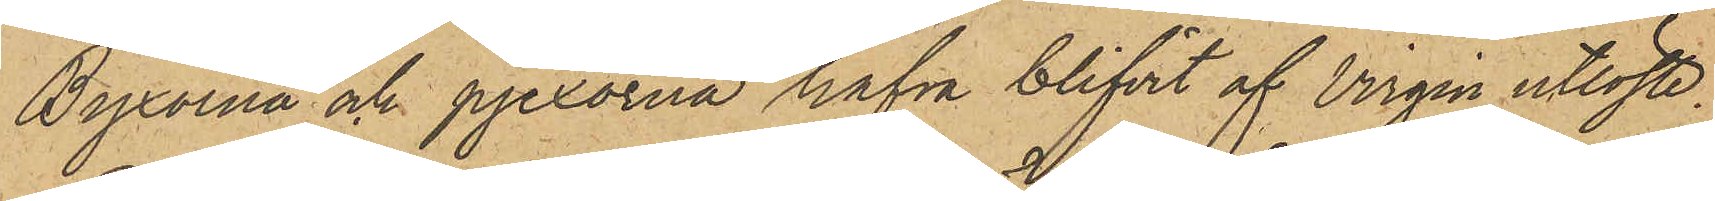Byxorna och pjexorna hafva blifvit af Virgin utlöste.
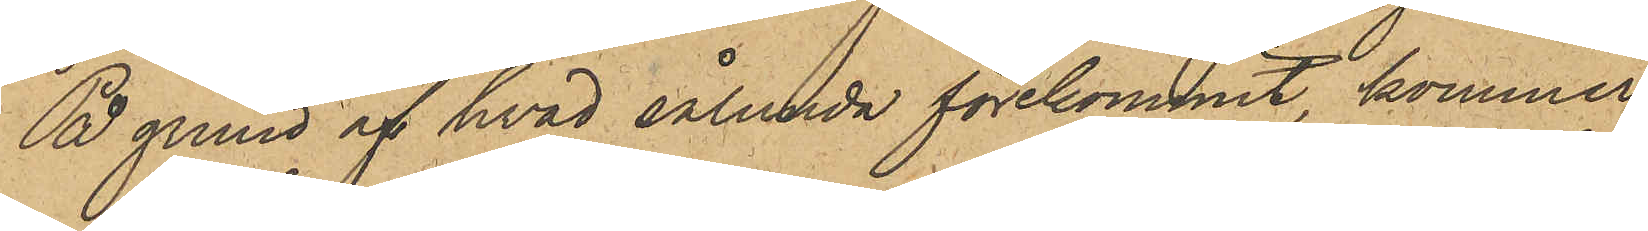På grund af hvad sålunda förekommit, kommer
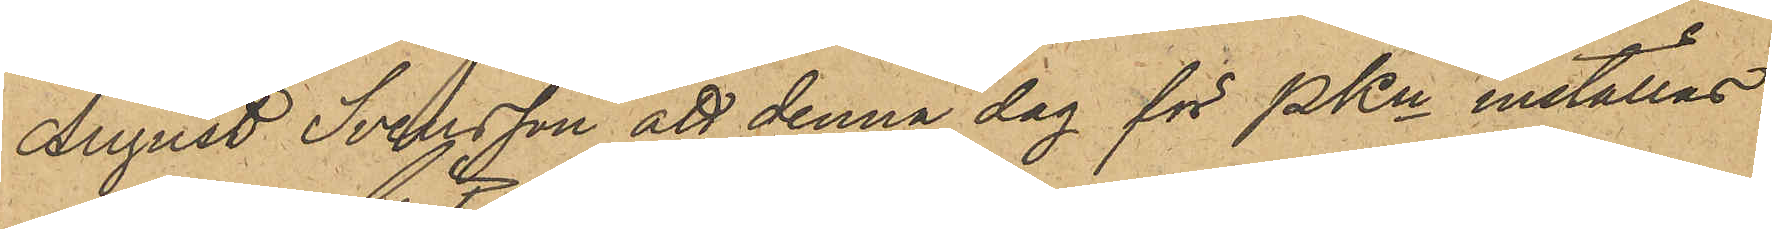August Svensson att denna dag för PKn inställas.
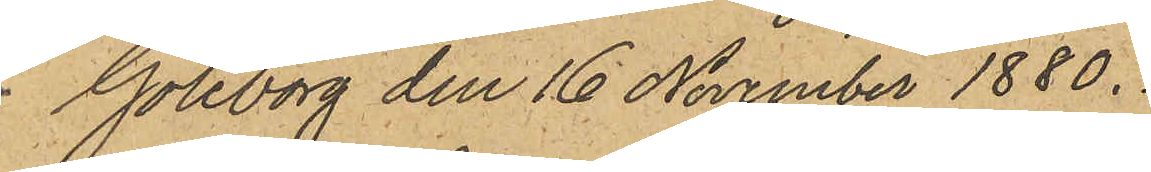Göteborg den 16 November 1880.
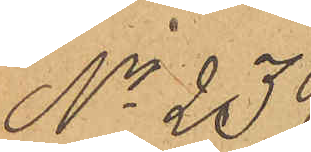No 236
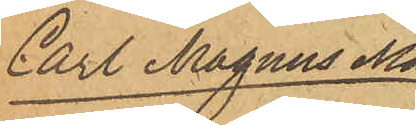Carl Magnus Ma¬
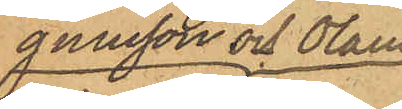gnusson och Olaus
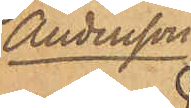Andersson
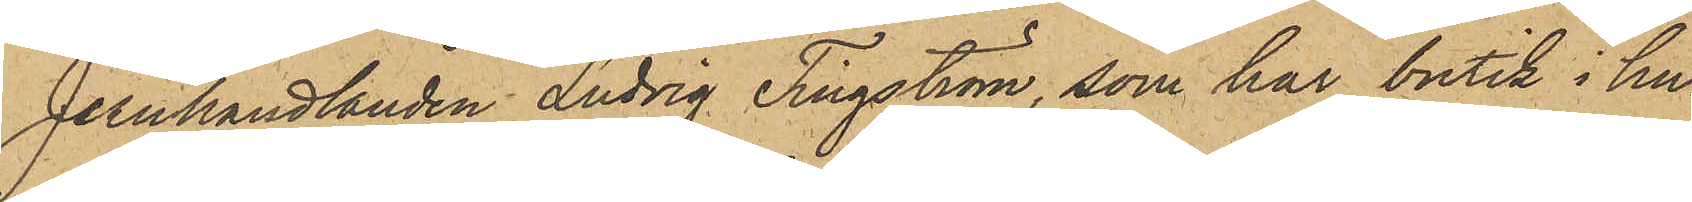Jernhandlanden Ludvig Tingström, som har butik i hu¬
